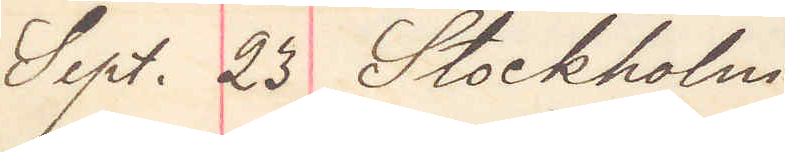Sept. 23 Stockholm
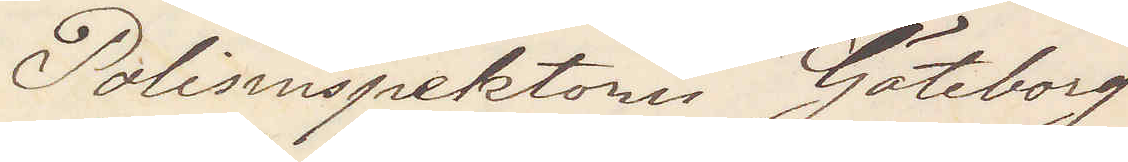Polisinspektorn Göteborg
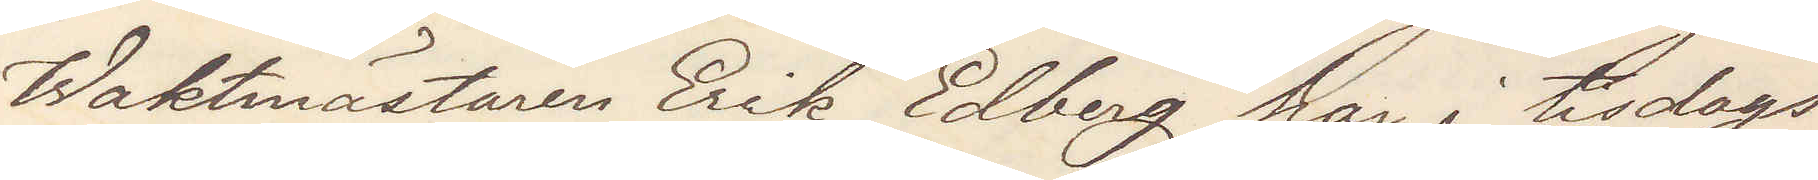Waktmästaren Erik Edberg har i tisdags
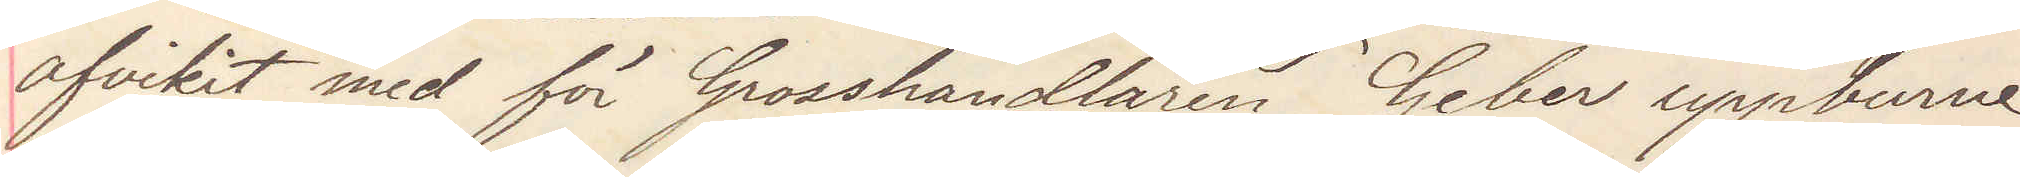afvikit med för Grosshandlaren Geber uppburne
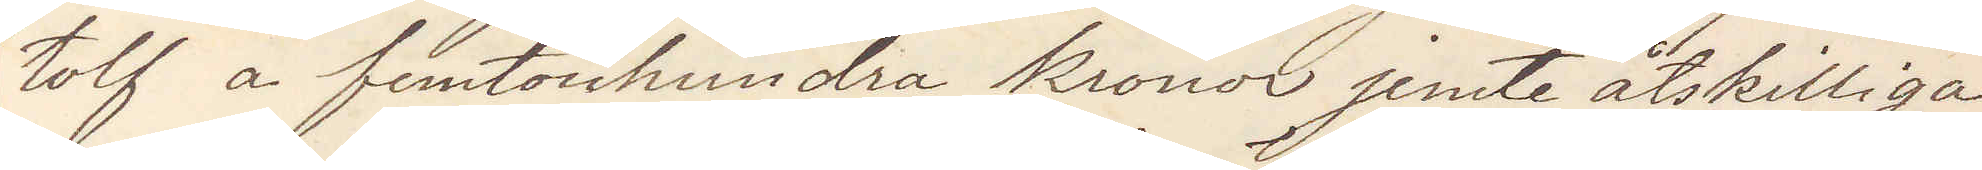tolf a femtonhundra kronor jemte åtskilliga
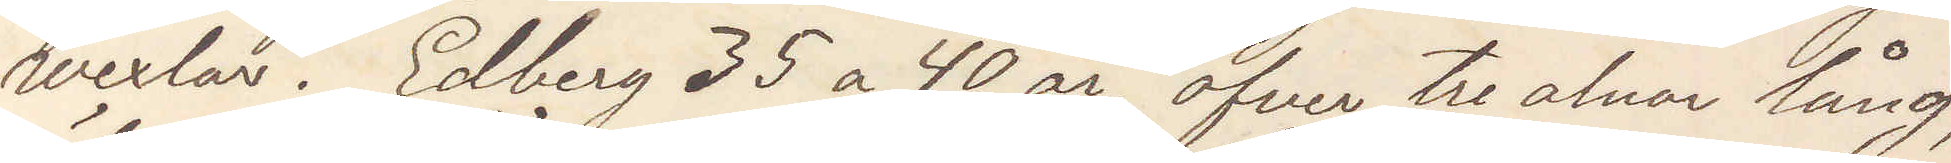wexlar. Edberg 35 a 40 år, öfver tre alnar lång,
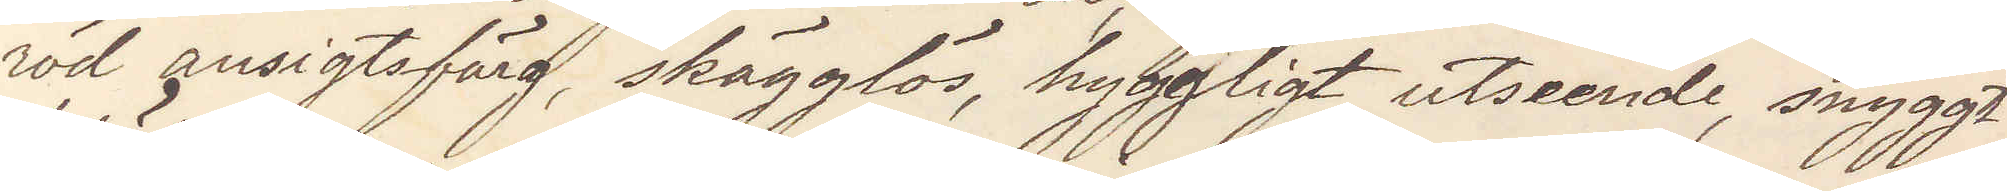röd ansigtsfärg, skägglös, hyggligt utseende, snyggt
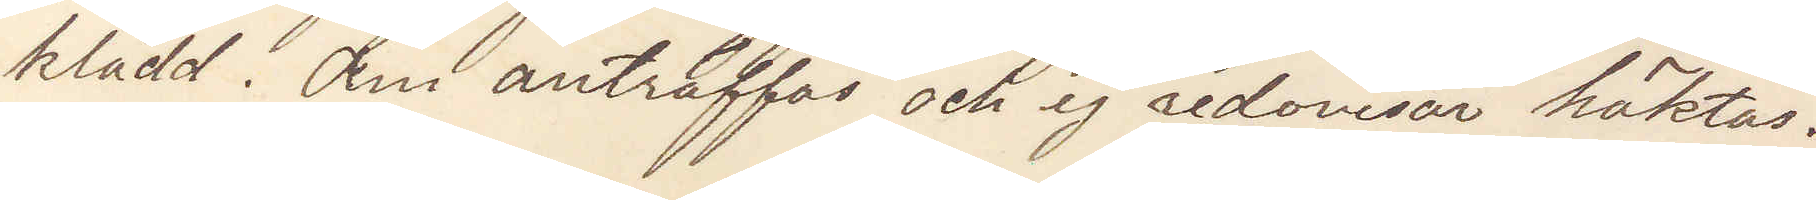klädd. Om anträffas och ej redovisar häktas.
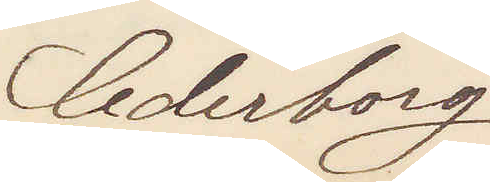Cederborg
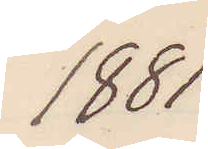1881
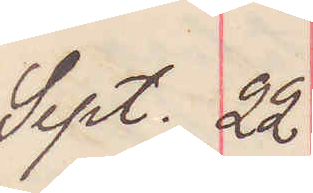Sept. 22
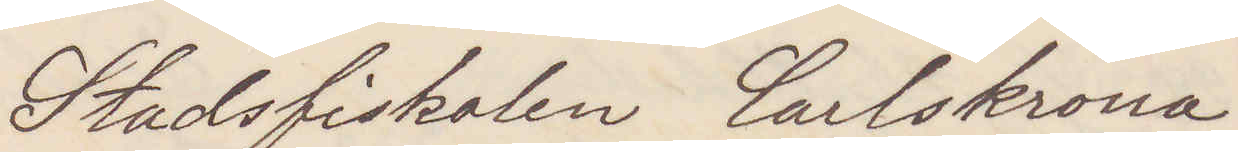Stadsfiskalen Carlskrona
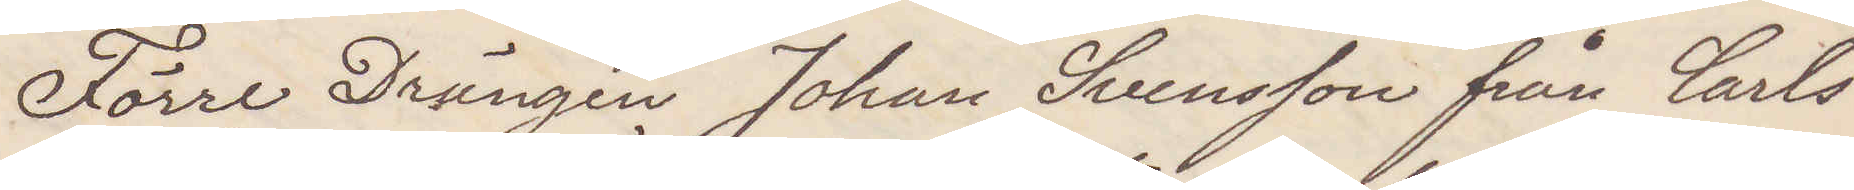Förre Drängen Johan Svensson från Carls¬
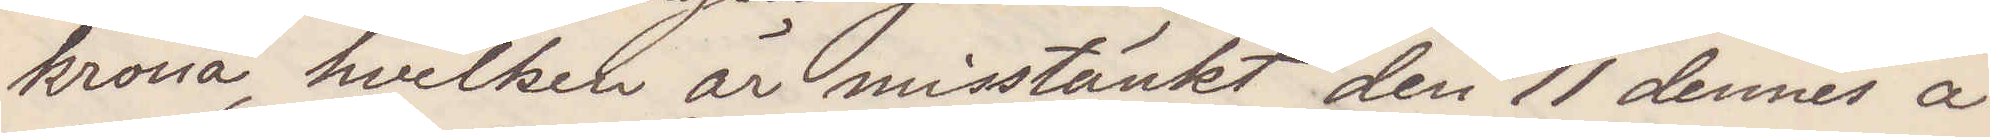krona, hvilken är misstänkt den 11 dennes å
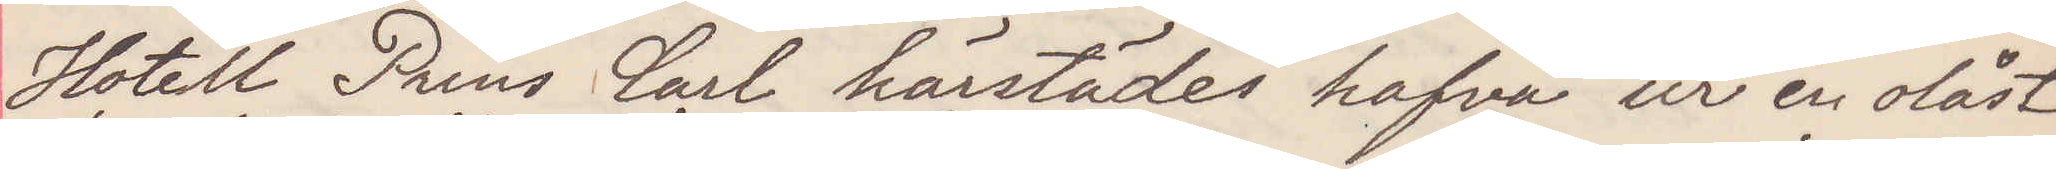Hotell Prins Carl härstädes hafva ur en olåst
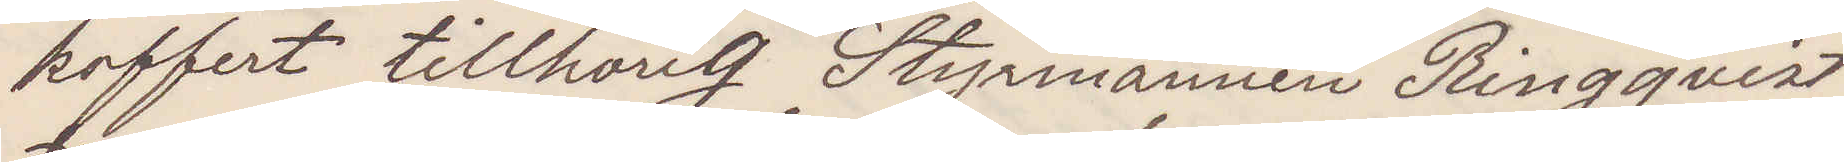koffert tillhörig Styrmannen Ringqvist
